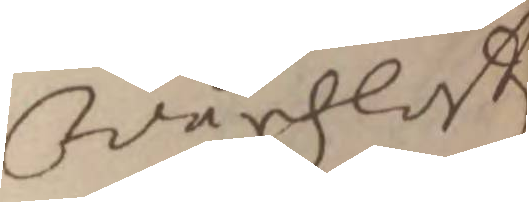Wårdzlöst
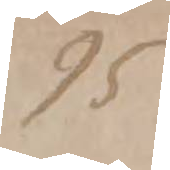95
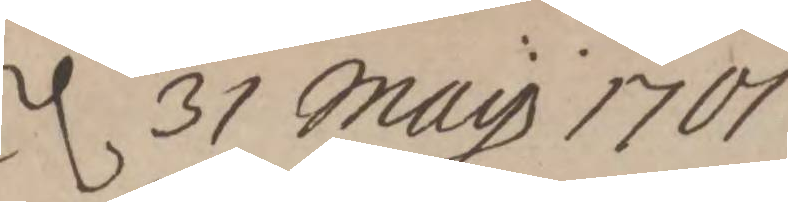d. 31 Maij 1701.
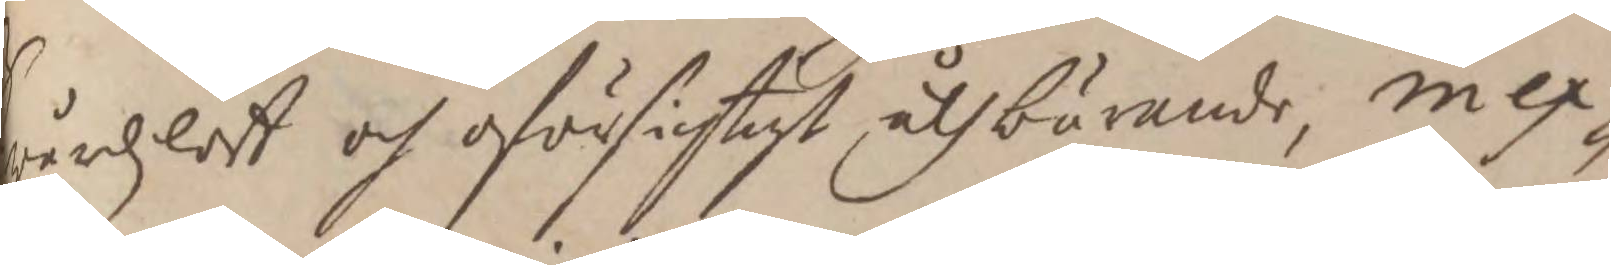wårdzlöst och oförsichtigt åthbörande, in ex¬
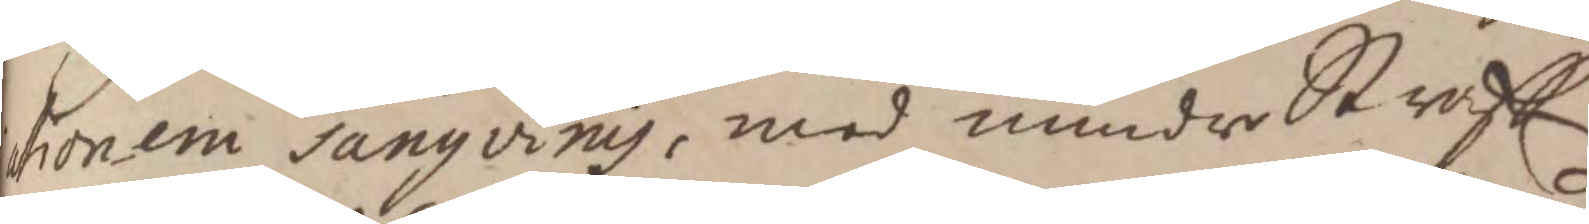i sangvinis, med mindre Straff
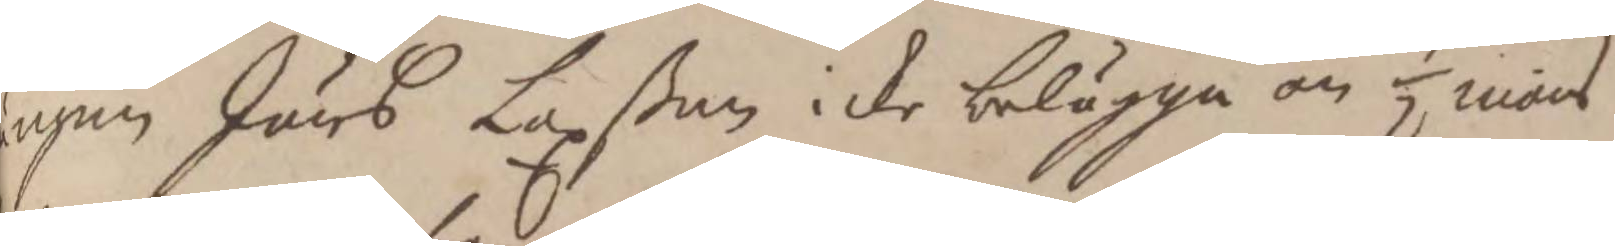ängen Jöns Laxßon icke belägga än 1/2 mans¬
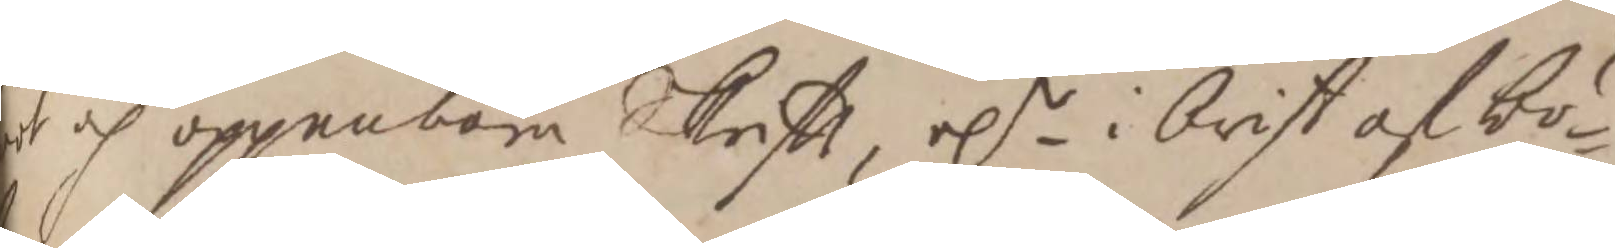ot och oppenbara Skrifft, e.r i brist af bö¬
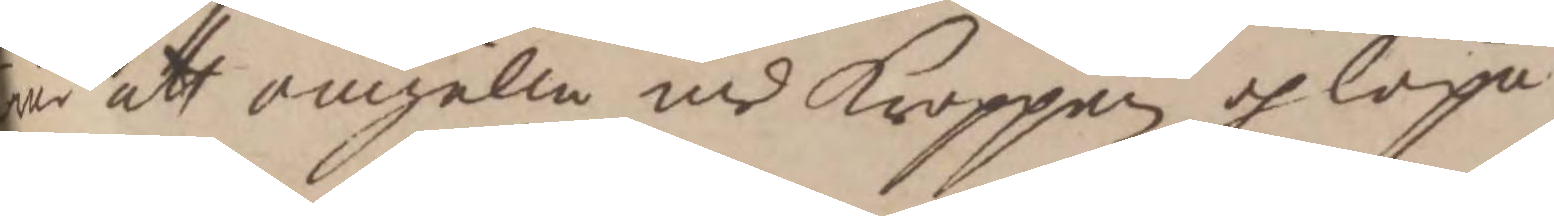er att omgälla med Kroppen och löpa
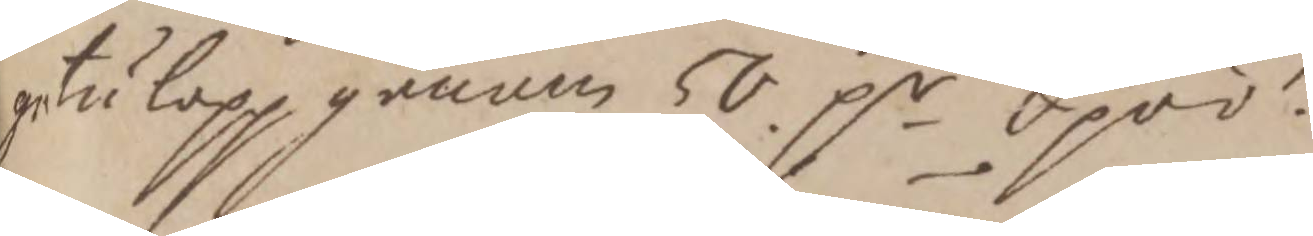gatulopp genom 50 p.r Spöö.
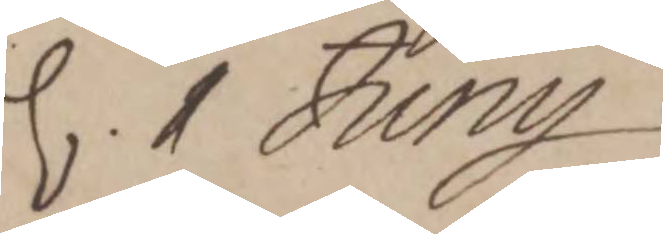d. 1 Junij
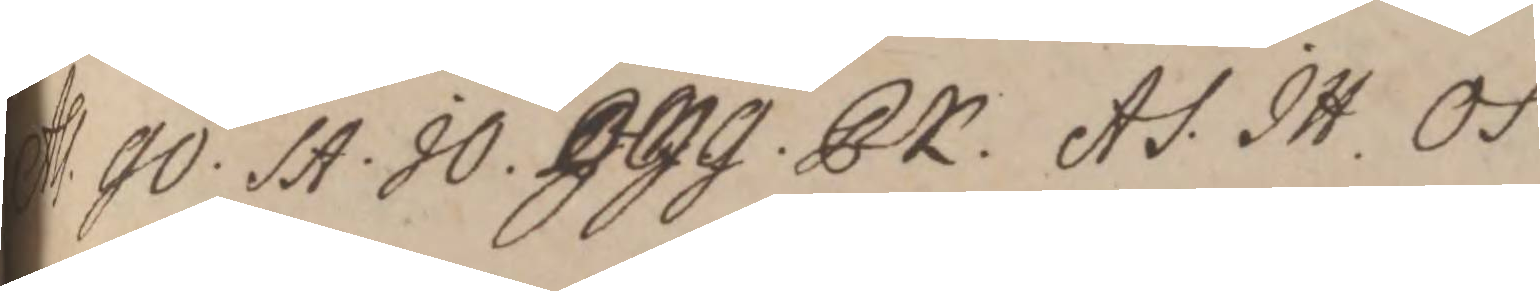Ass. GÖ. SA. JO. JJG. PK. AS. JH. OS
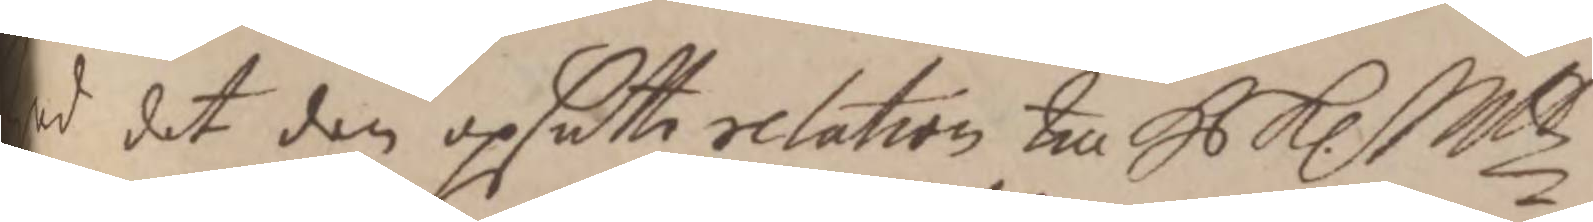Wed det den opsatte relation till H K. Mttz
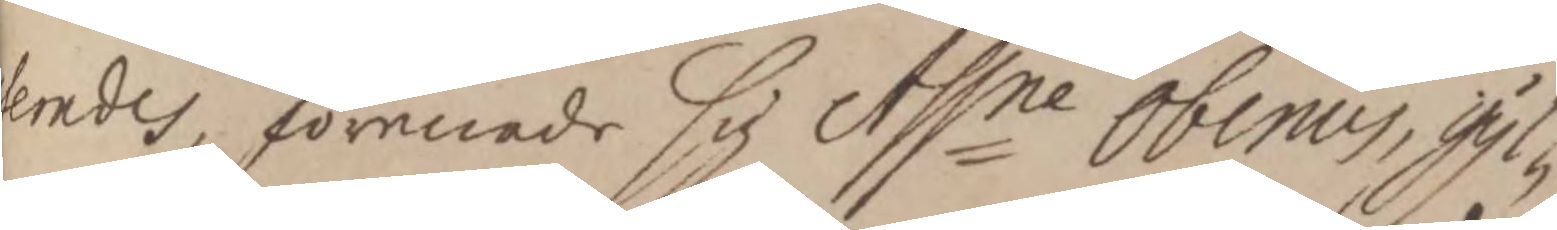terades, förenade sig Assne Obenius, Gyl¬
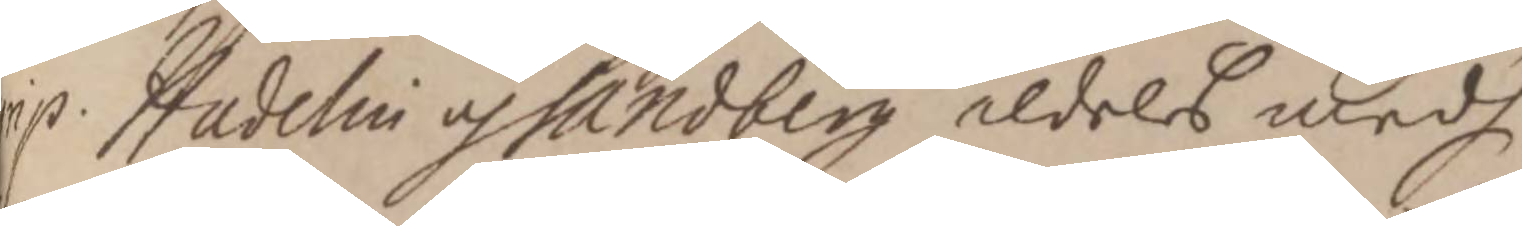grip Hadelin och Sandberg aldeles medh
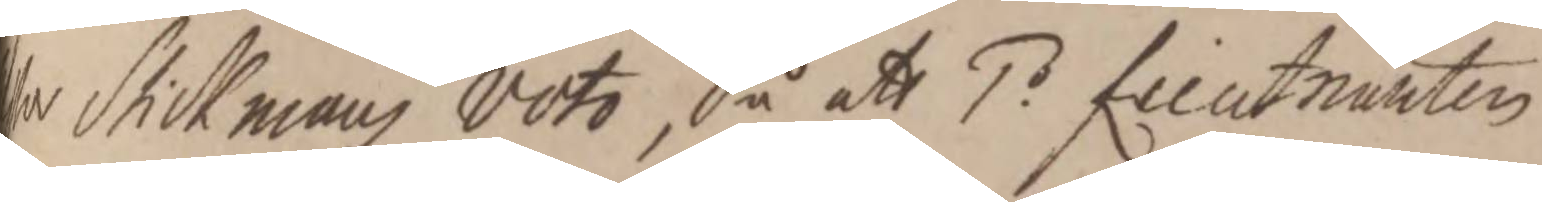a Stickmans voto, Så att 1o. Lieutnanten
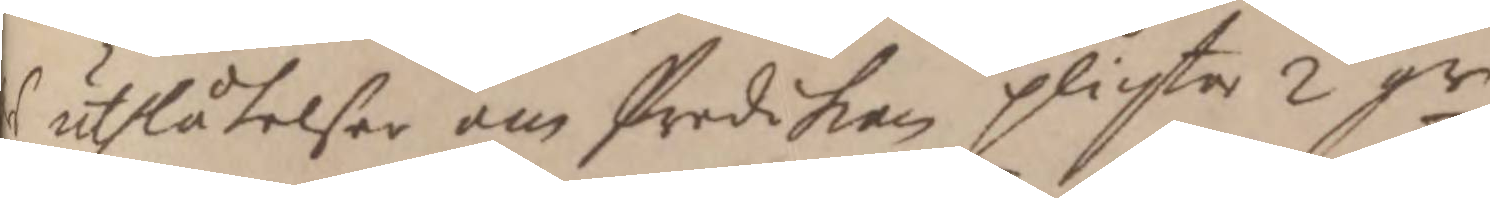r uthlåtelser om Predikan plichta 2 gr
